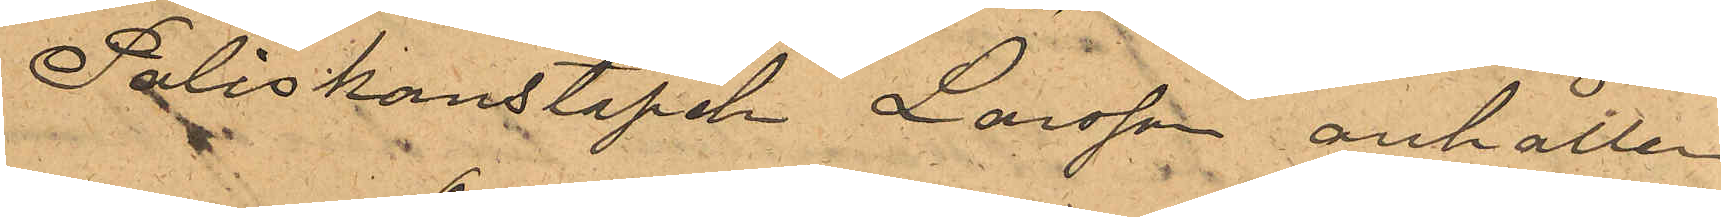Poliskonstapeln Larsson anhållen
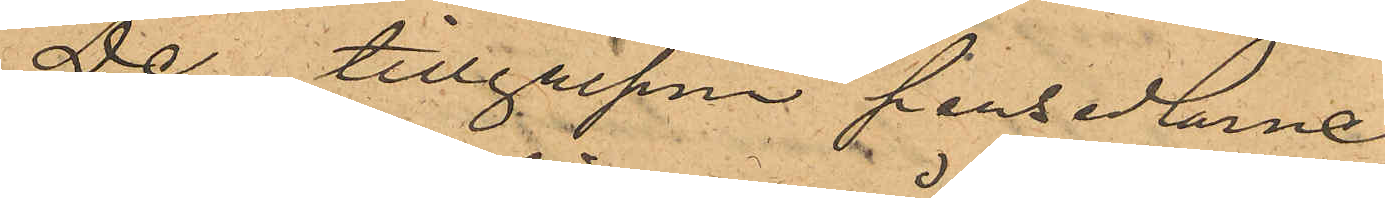De tillgripne persedlarne
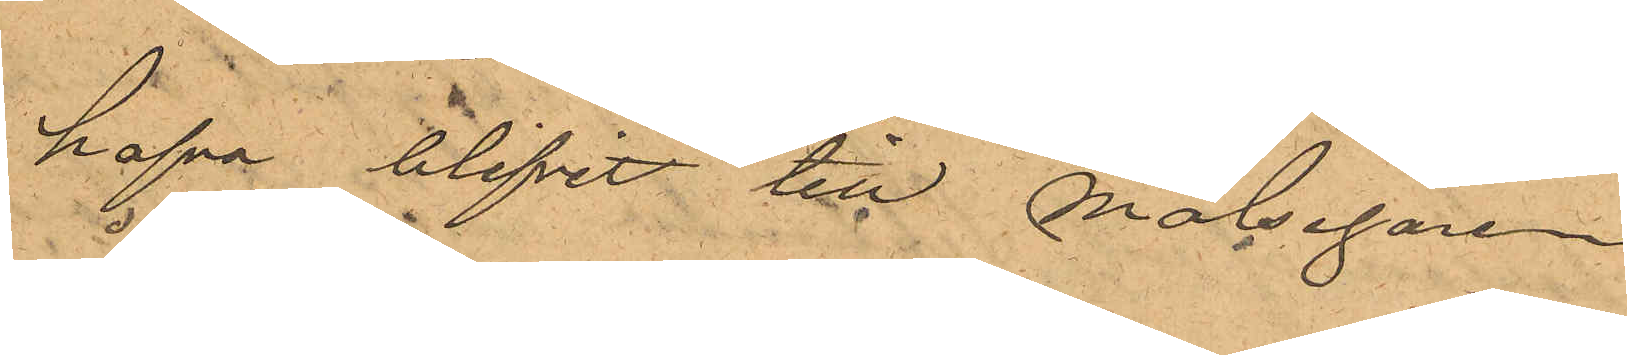hafva blifvit till Målsegaren
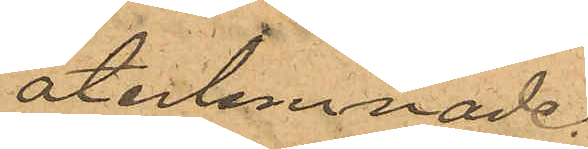återlemnade.
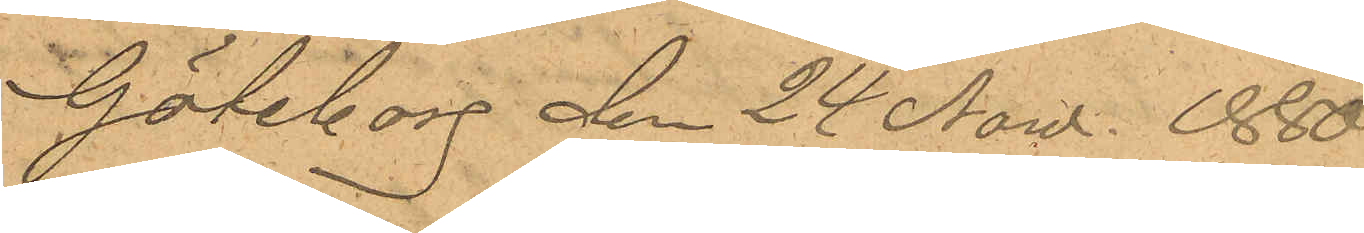Göteborg den 24 Now. 1880.
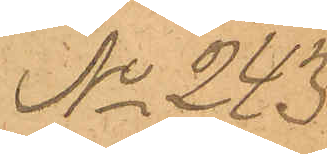No 243.
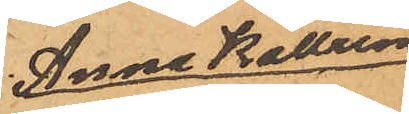Anna Kattrina
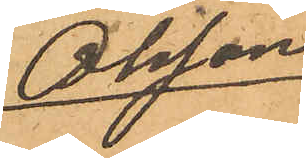Olsson
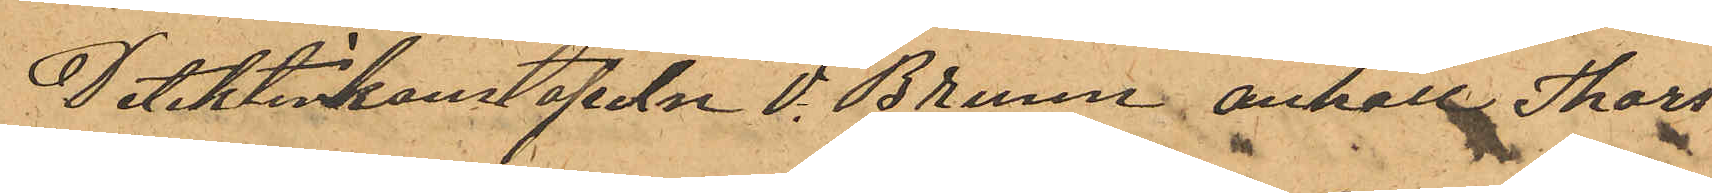Detektivkonstapeln V. Bruun anhöll Thors¬
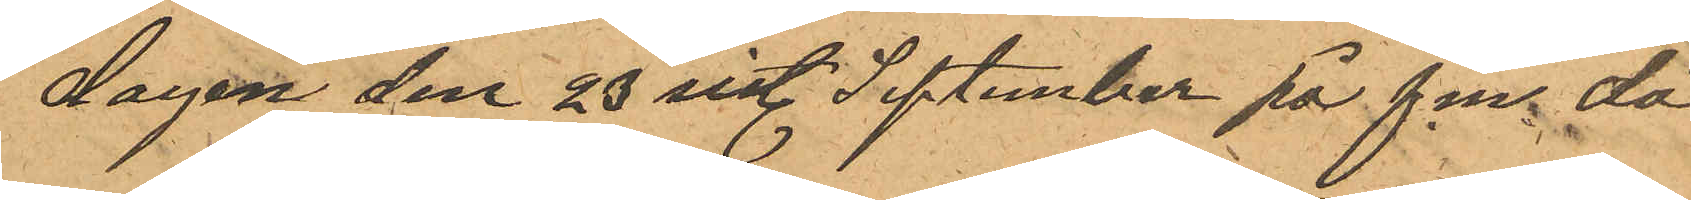dagen den 23 sist. September på fm. då
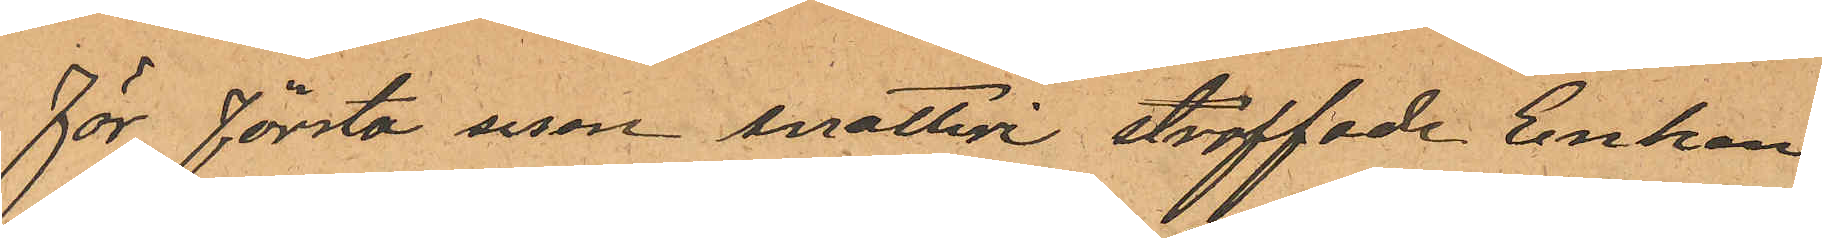för första resan snatteri straffade Enkan
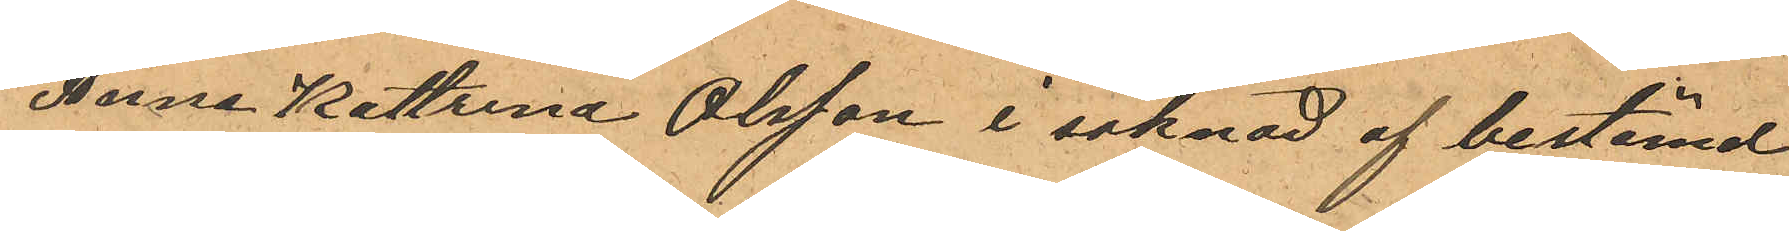Anna Kattrina Olsson i saknad af bestämd
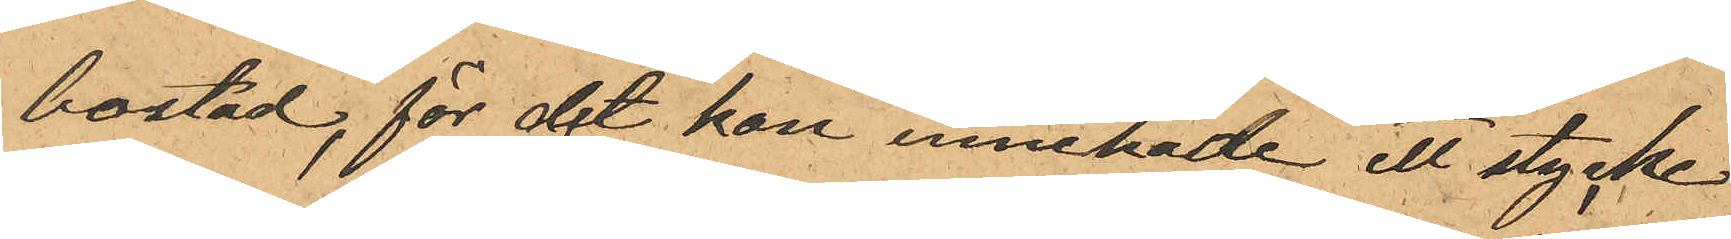bostad, för det hon innehade ett stycke
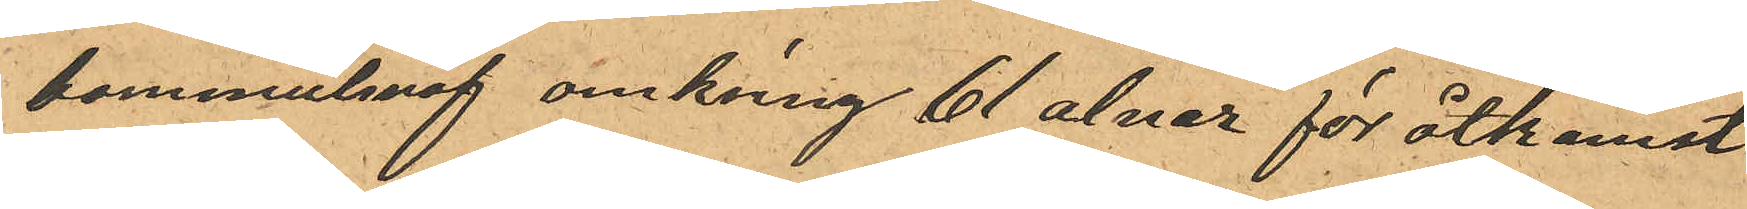bommulsväf omkring 61 alnar för åtkomst
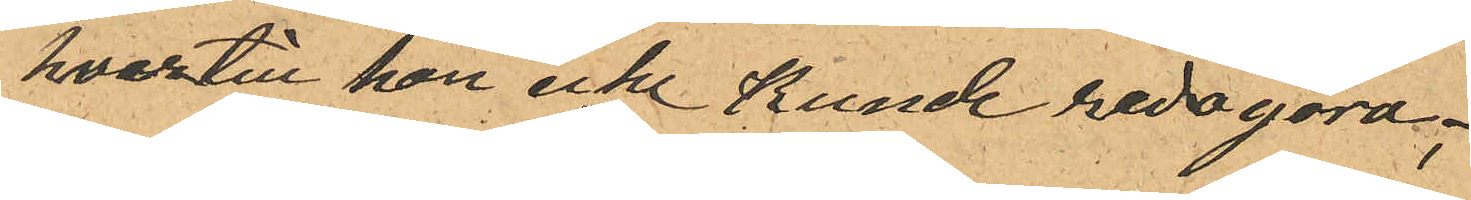hvartill hon icke kunde redogöra;
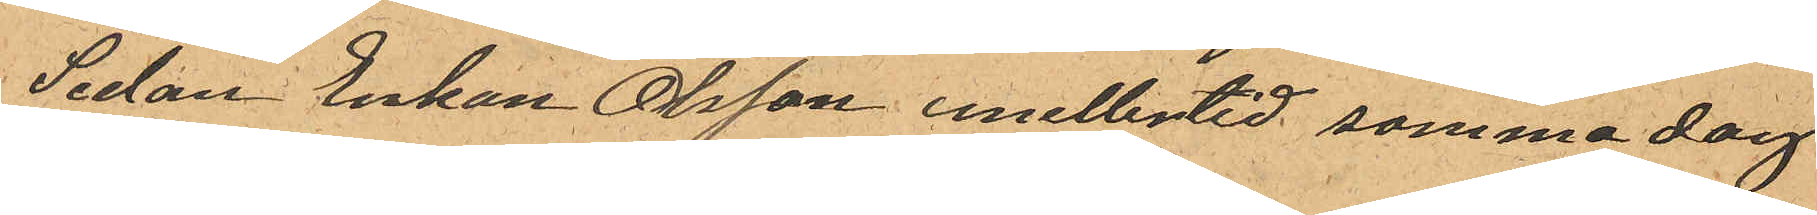Sedan Enkan Olsson emellertid samma dag
